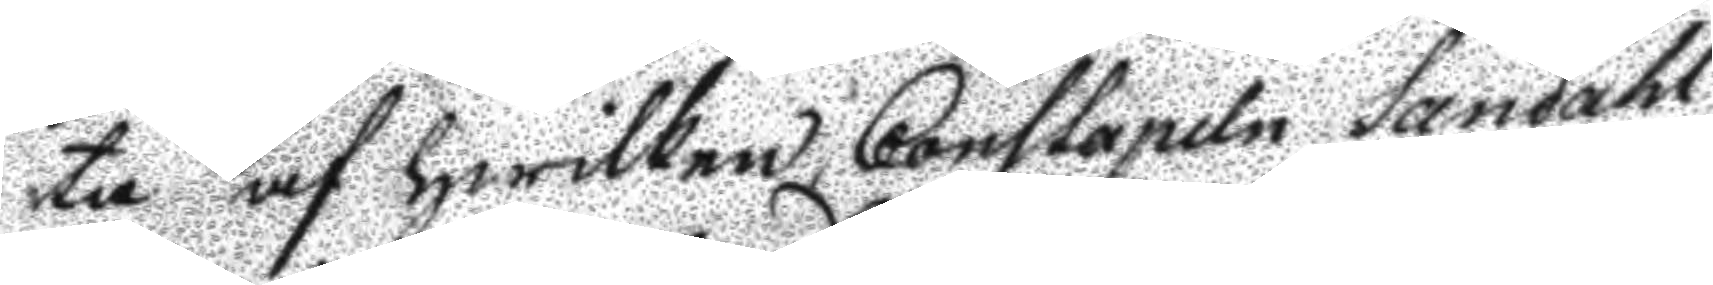ta af hwilken, Constapeln Sandahl
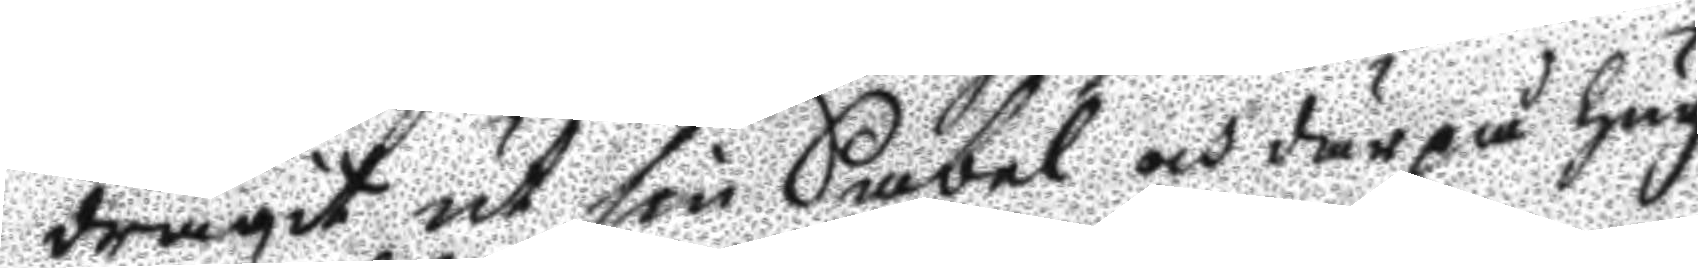dragit ut sin Sabel och derpå hug¬
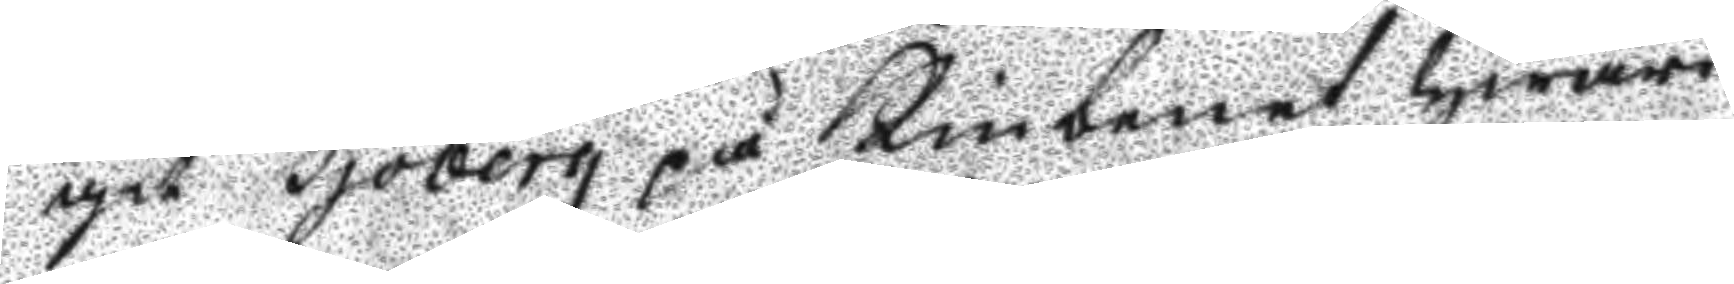git Sjöberg på kinbenet hwari¬
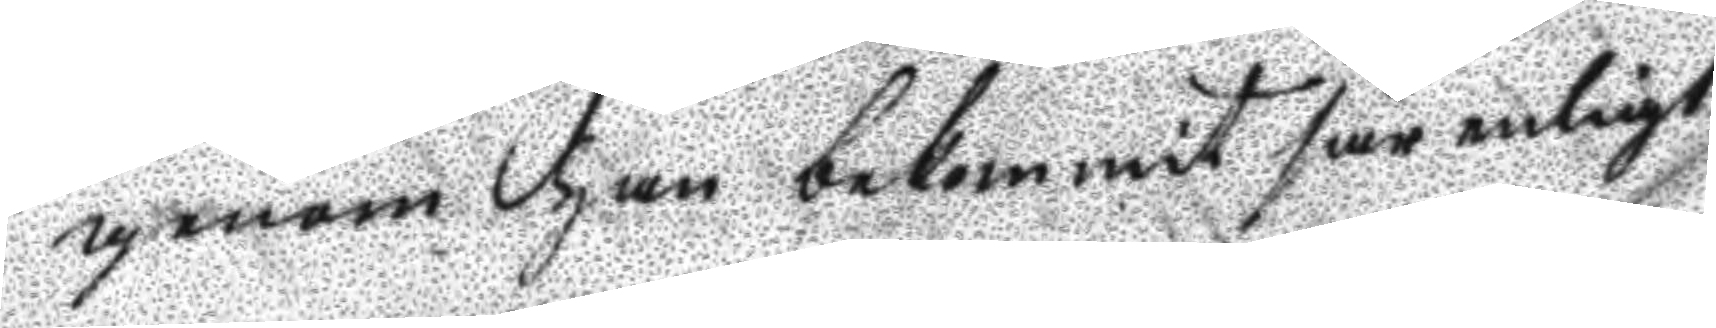genom han bekommit sår enligt
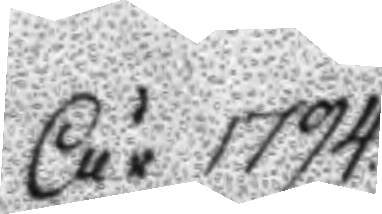År 1794
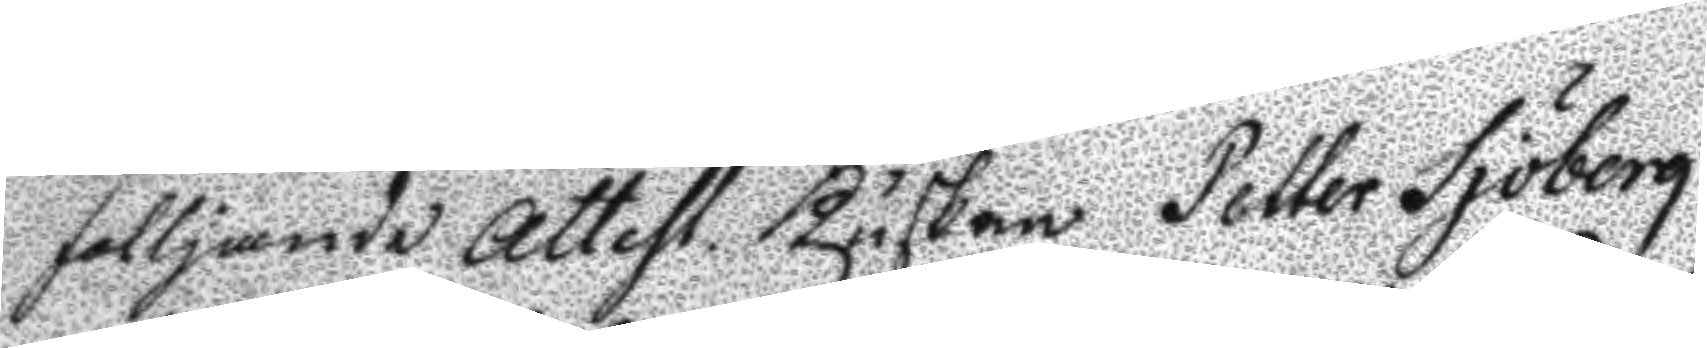fölljande Attest kusken Petter Sjöberg
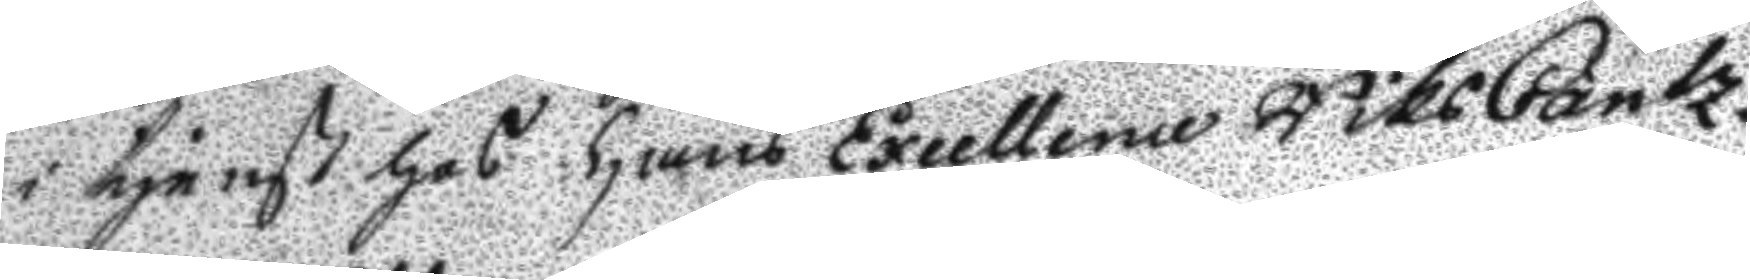i tjenst hos hans Excellence RiksCantz¬
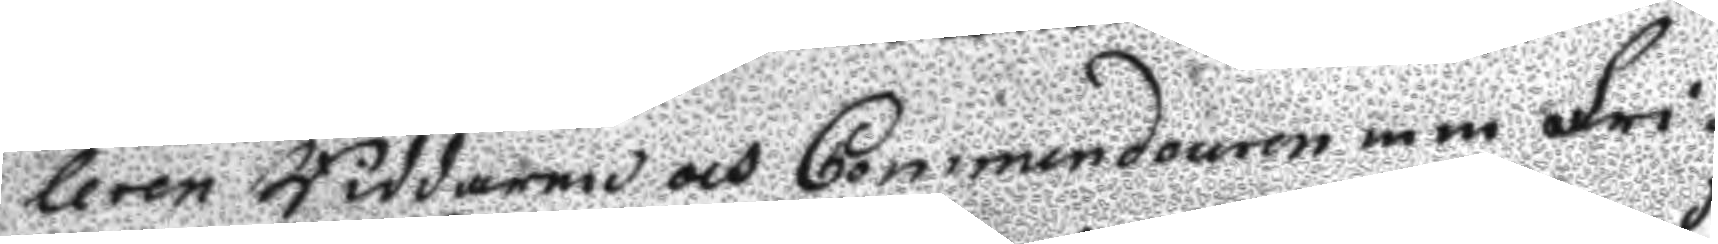leren Riddaren och Commendouren m m Fri¬
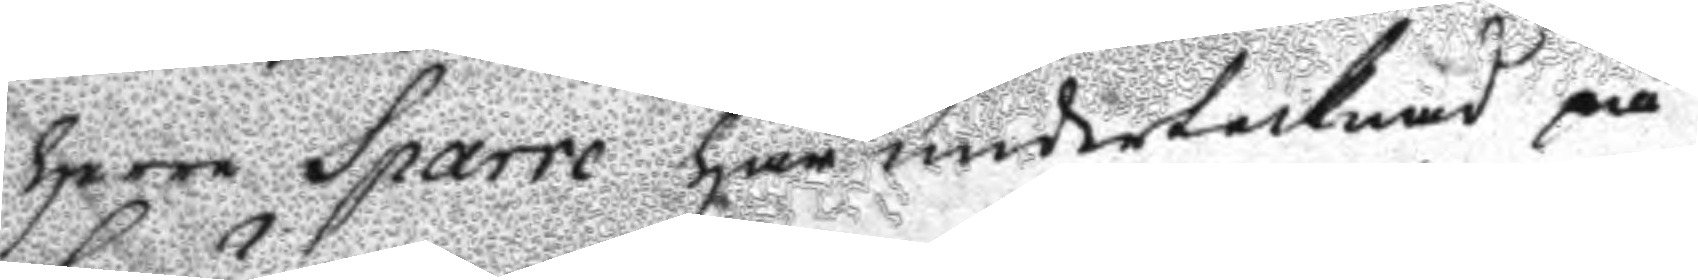herre Sparre har undertecknad på
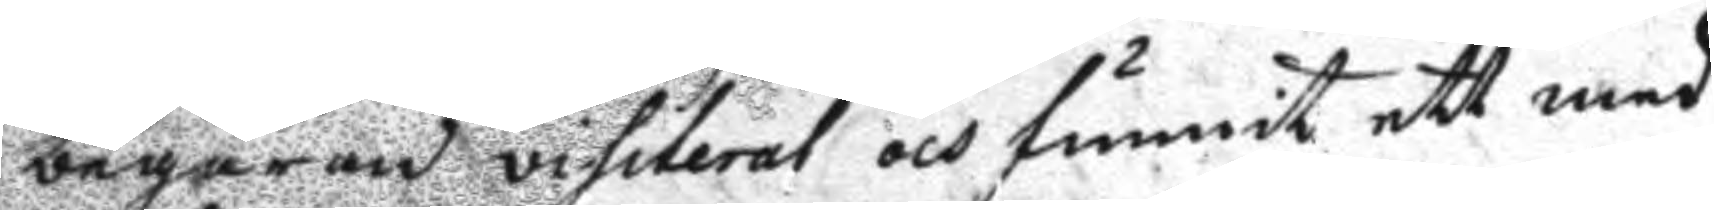begäran visiterat och funnit ett med
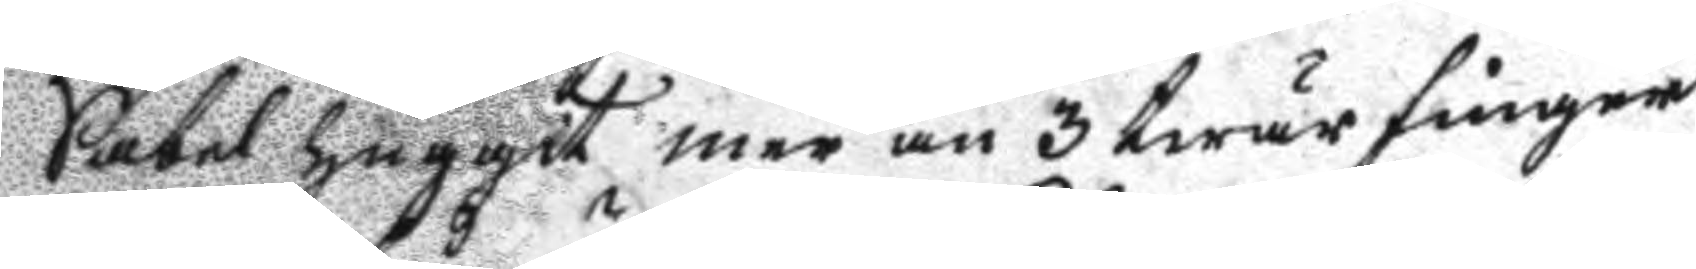Sabel huggit mer än 3 twärfingrar
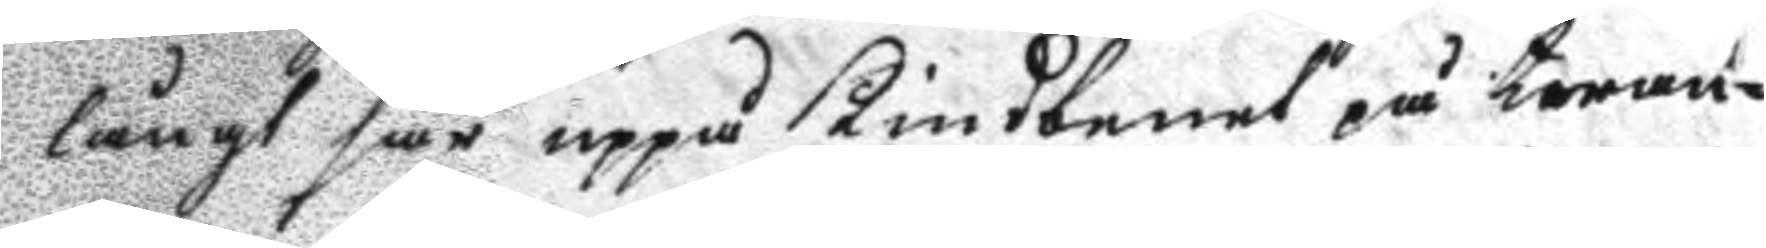långt sår uppå kindbenet på twän¬
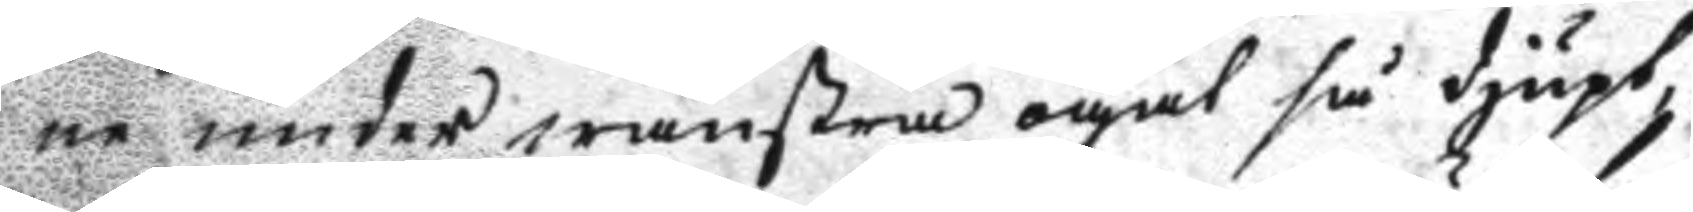ne under wänstra ögat så djupt,
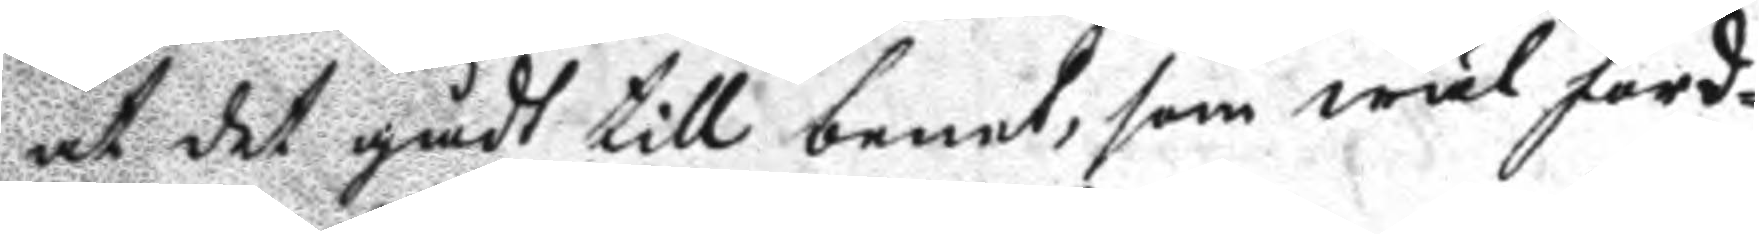att det gådt till benet, som wäl ford¬
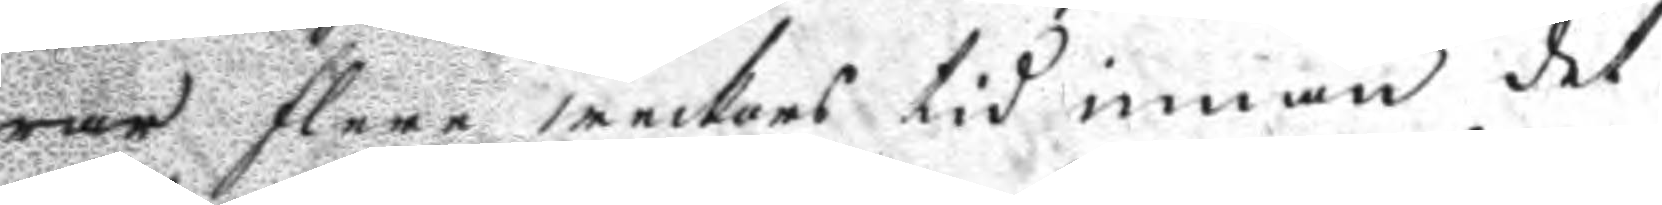rar flere weckors tid innan det
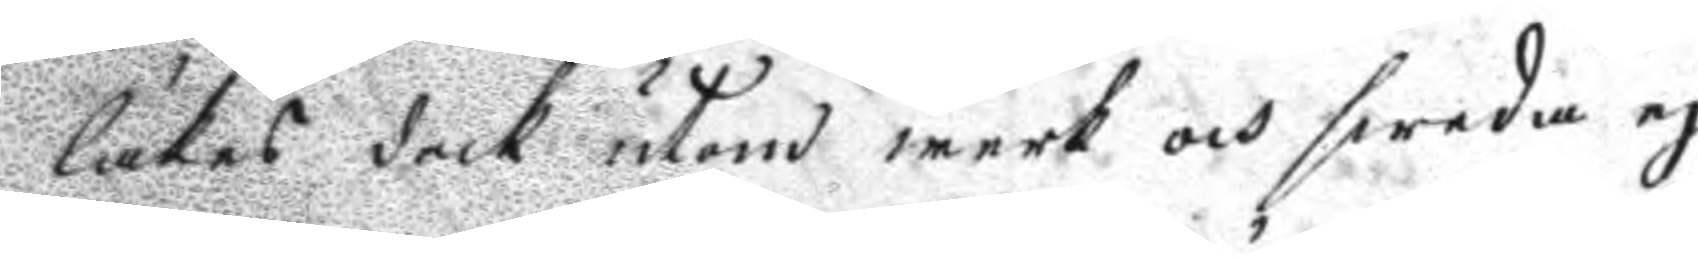läkes dock utom werk och sweda ej
